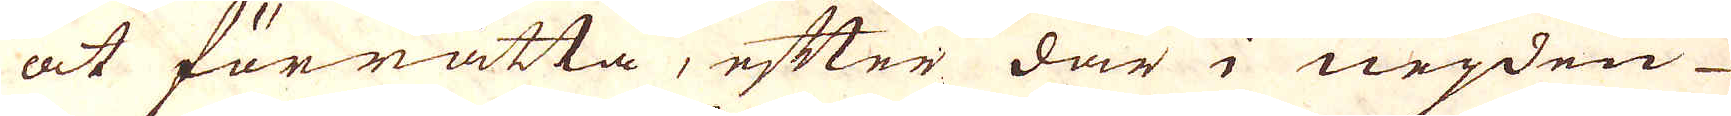at förrätta, efter där i neijden
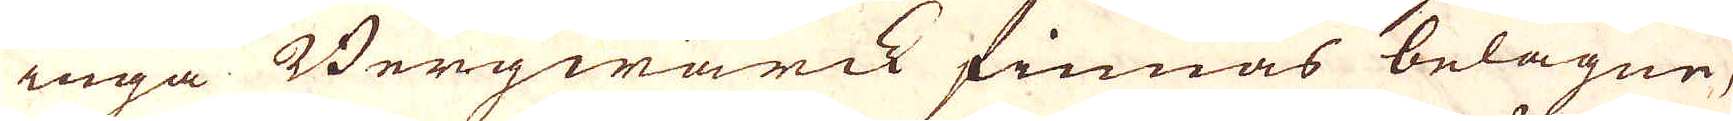inga Bergwärck finnas belägne,
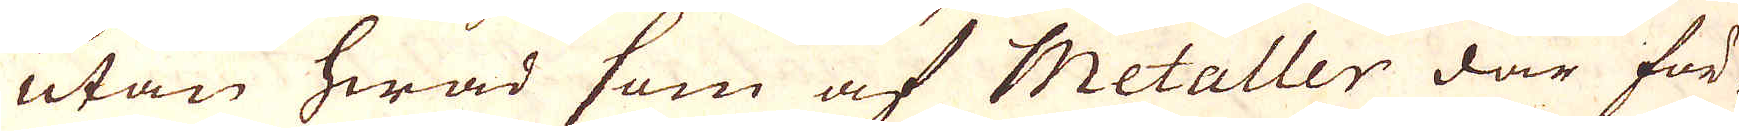utan hwad som af Metaller där för-
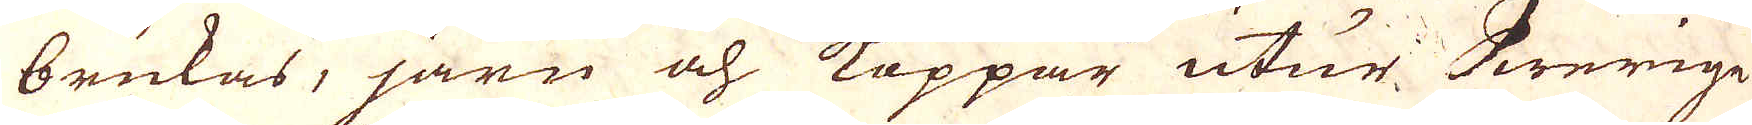brukas, järn och Koppar utur Swerige
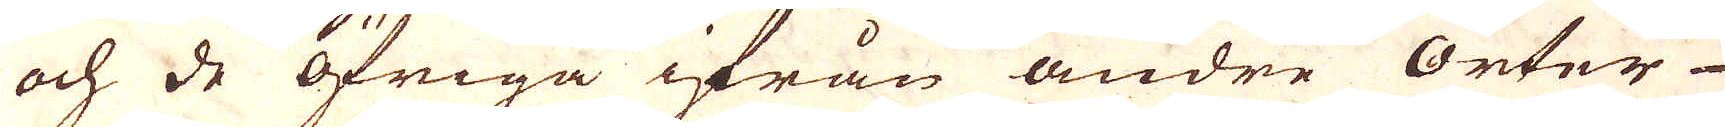och de öfriga ifrån andre Orter
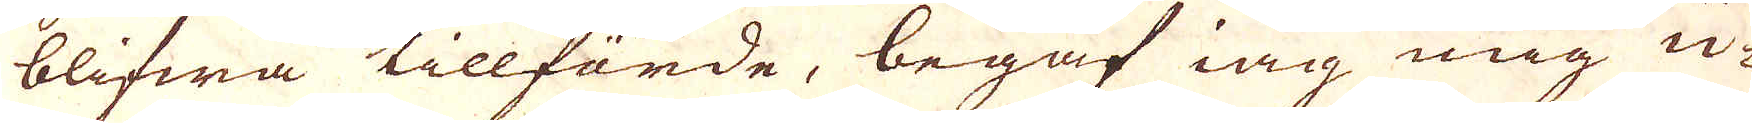blifwa tillfärde, begaf iag mig u-
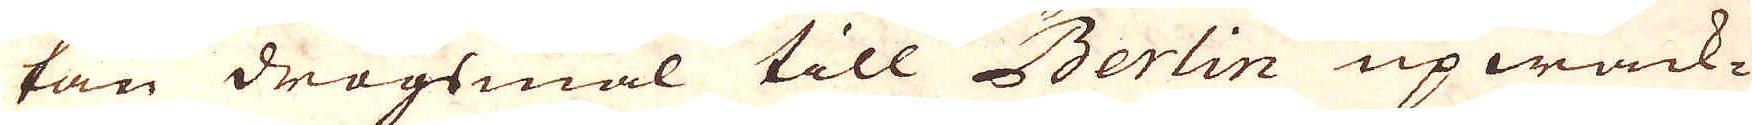tan drägsmål till Berlin upwack-
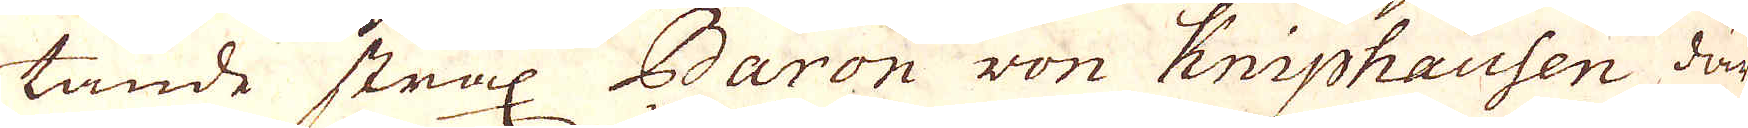tande strax Baron won Kniphausen där
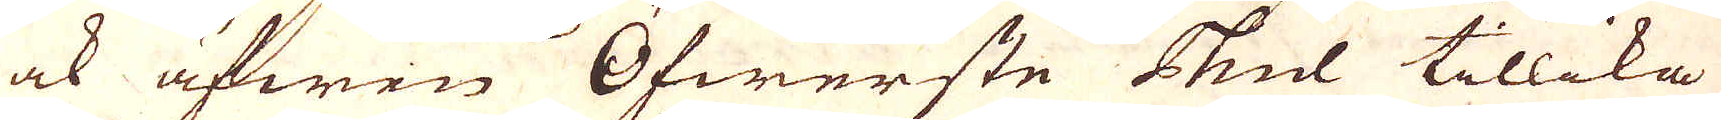ock äfwen Öfwerste Thul tillika
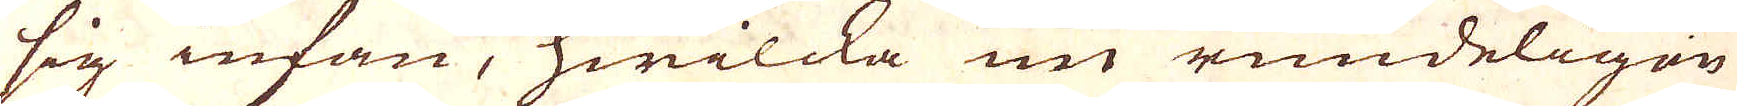sig infan, hwilcka nu rundeligen
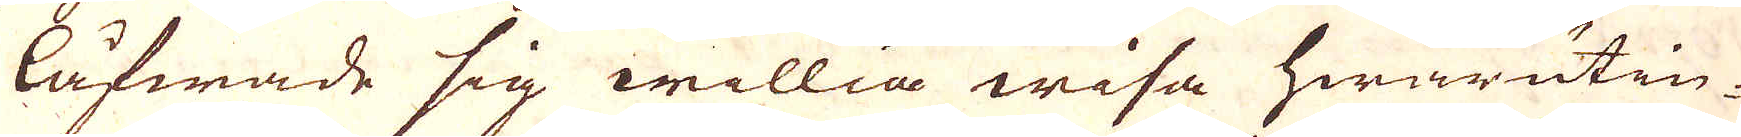låfwade sig willia wisa hwarutin-
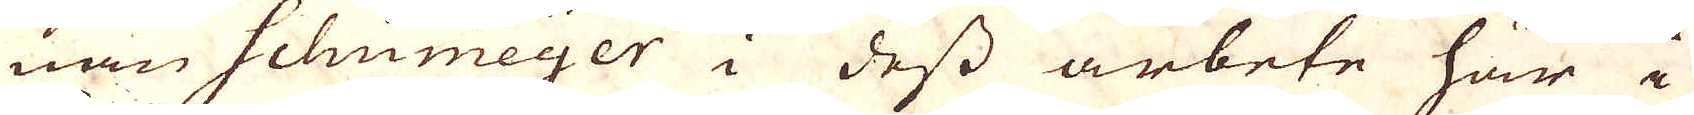nan Schumeijer i dess arbete här i
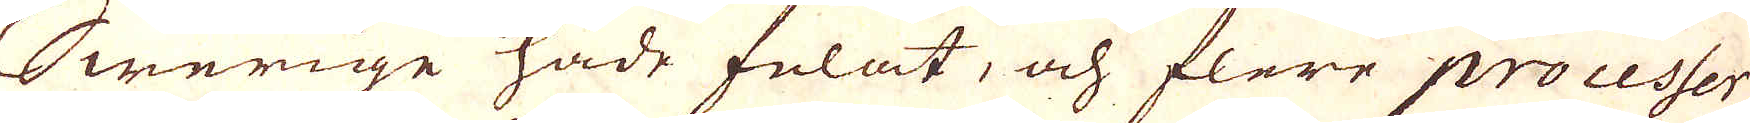Swerige hade felat, och flere processer
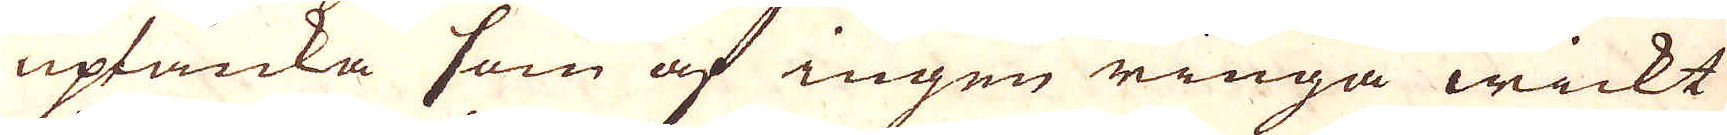uptänka som af ingen ringa wickt
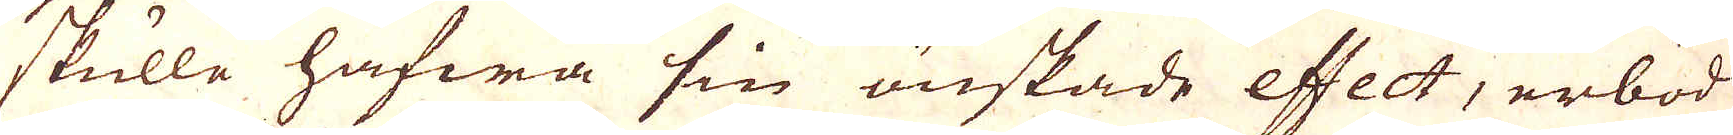skulle hafwa sin önskade effect, erböd
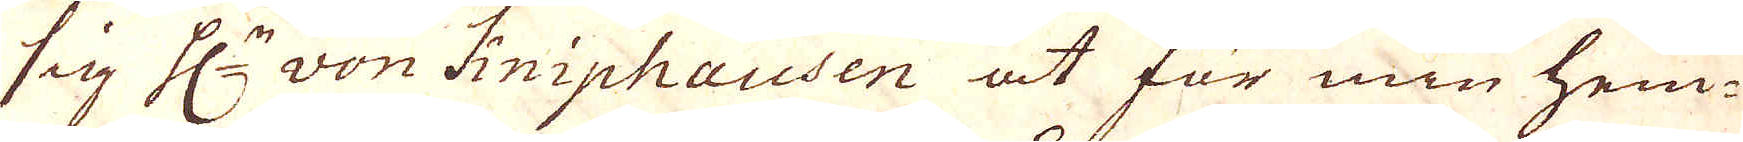sig H:r von Kniphausen at för min hem-
